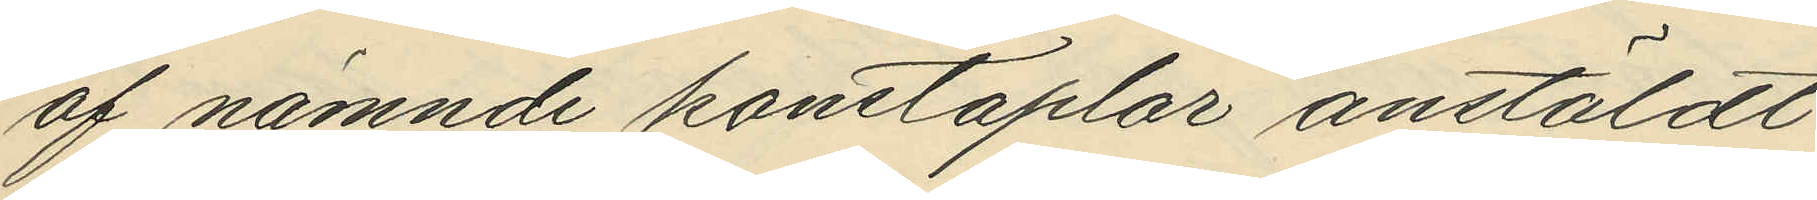af nämnde konstaplar anstäldt
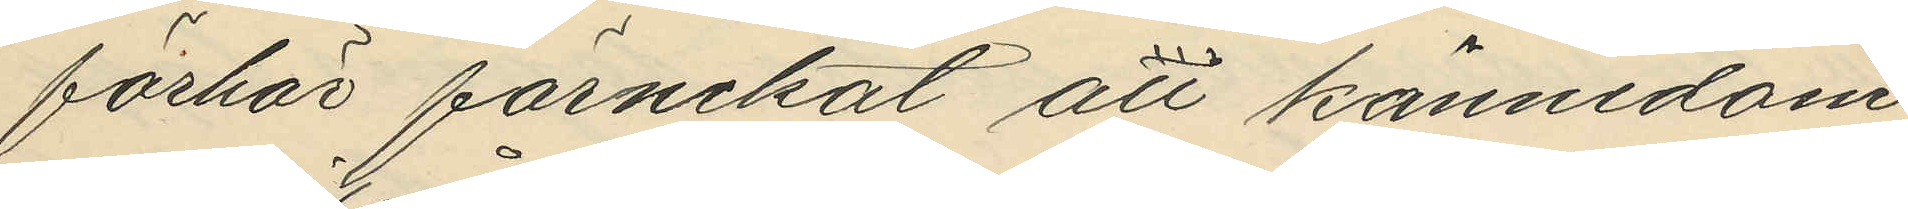förhör förnekat all kännedom
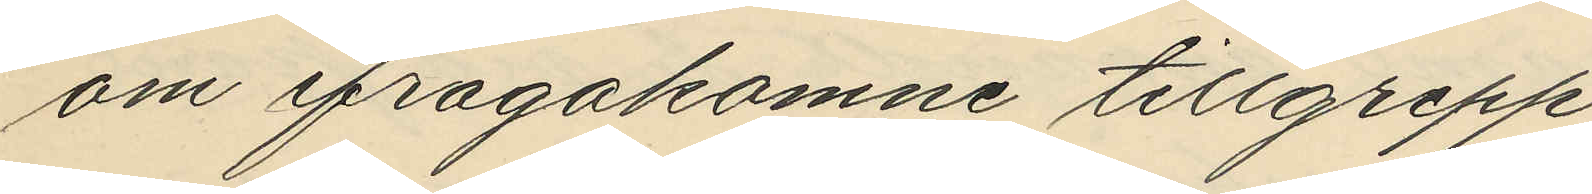om ifrågakomne tillgrepp.
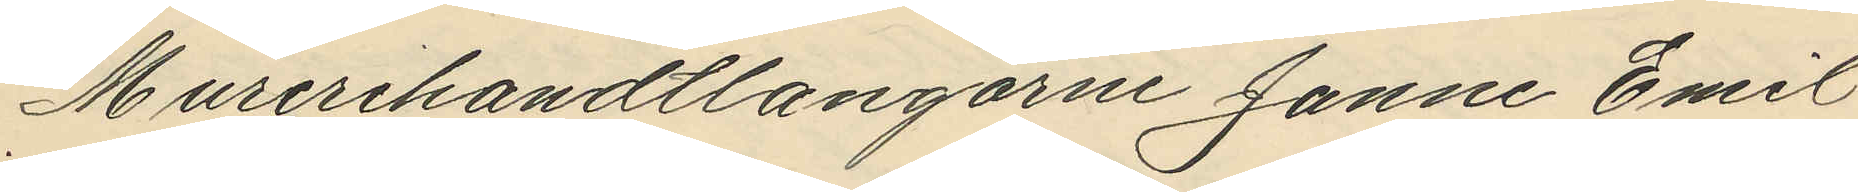Murerihandtlangarne Janne Emil
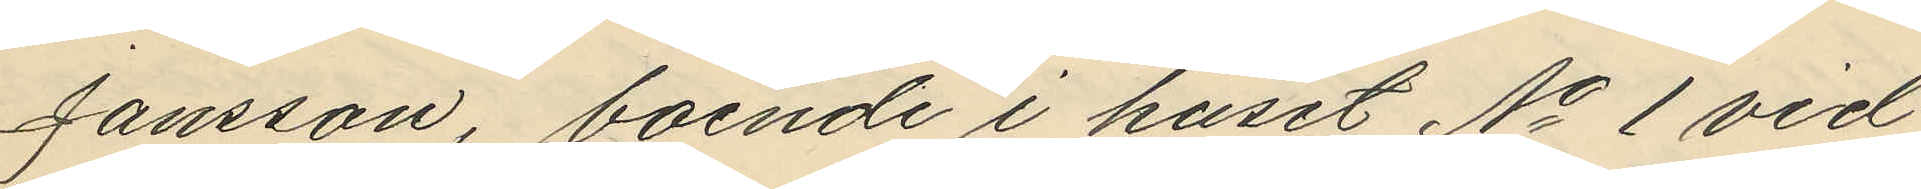Jansson, boende i huset No 1 vid
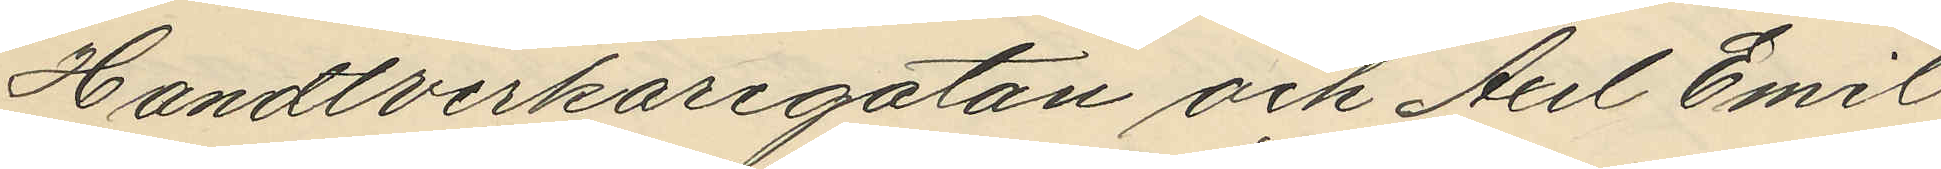Handtverkaregatan och Axel Emil
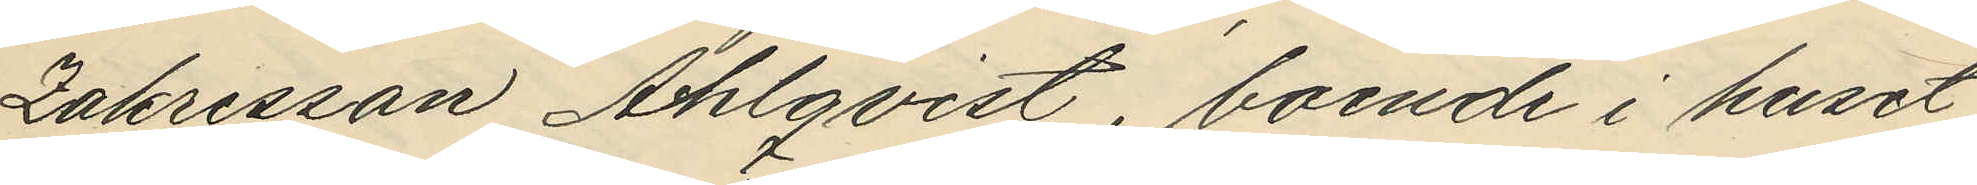Zakrisson Ahlqvist, boende i huset
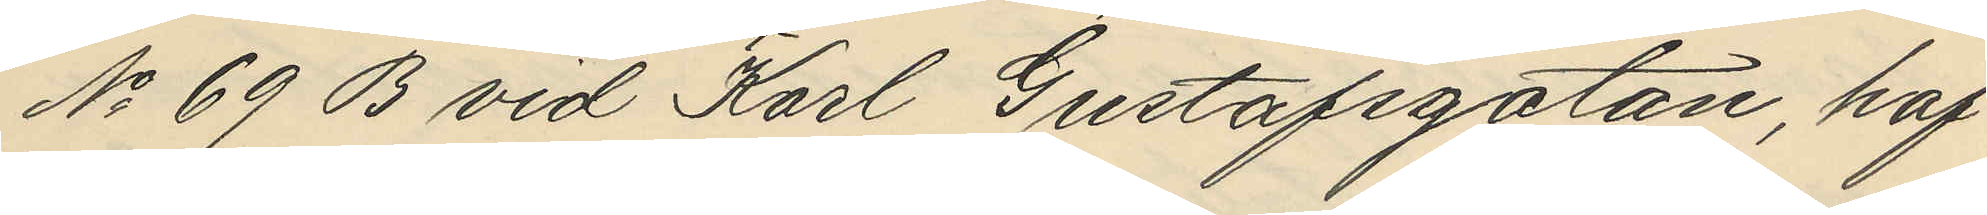No 69 B vid Karl Gustafsgatan, haf¬
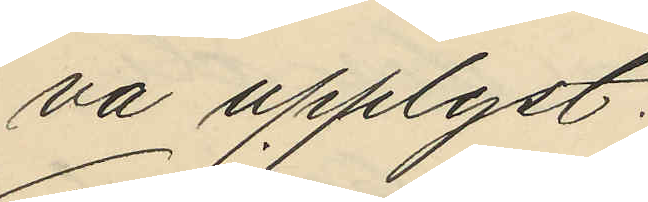va upplyst:
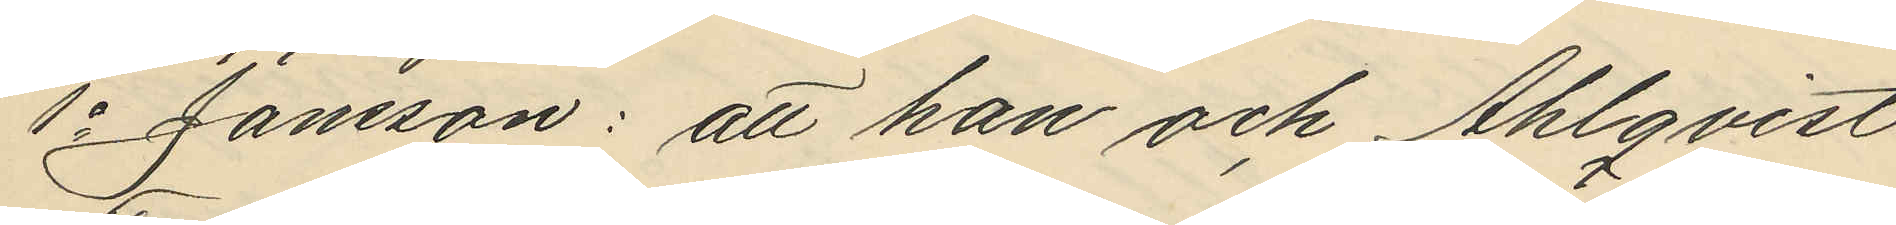1o Jansson: att han och Ahlqvist
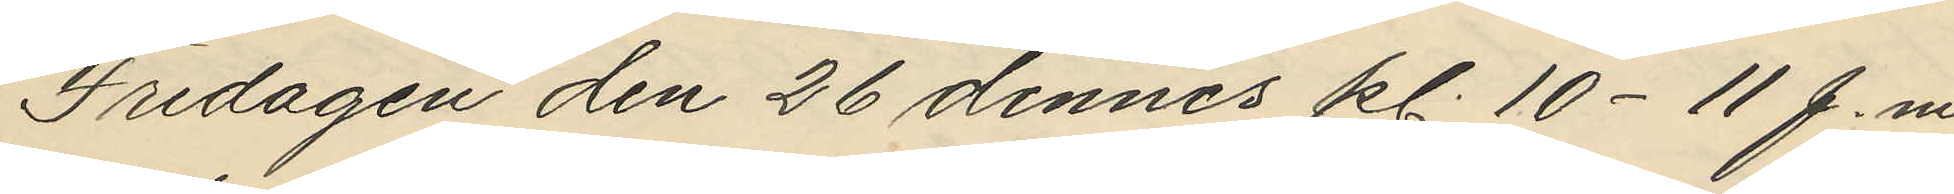Fredagen den 26 dennes kl. 10-11 f.m.
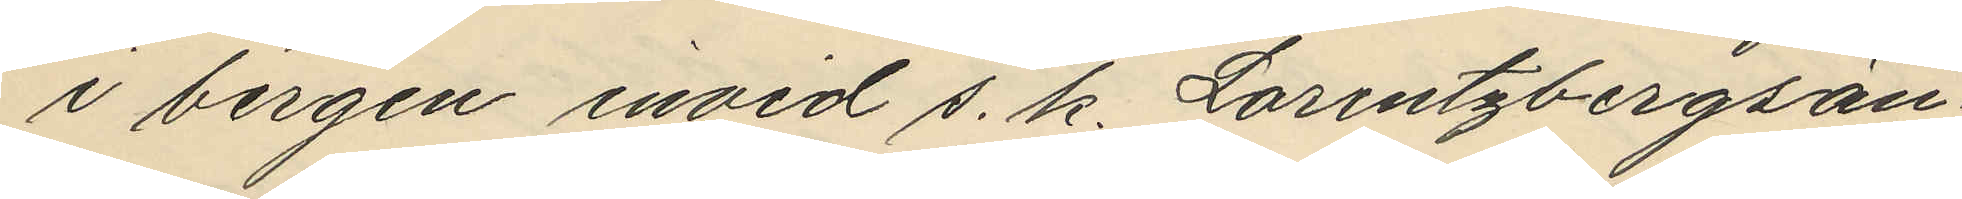i bergen invid s. k. Lorentzbergsän¬
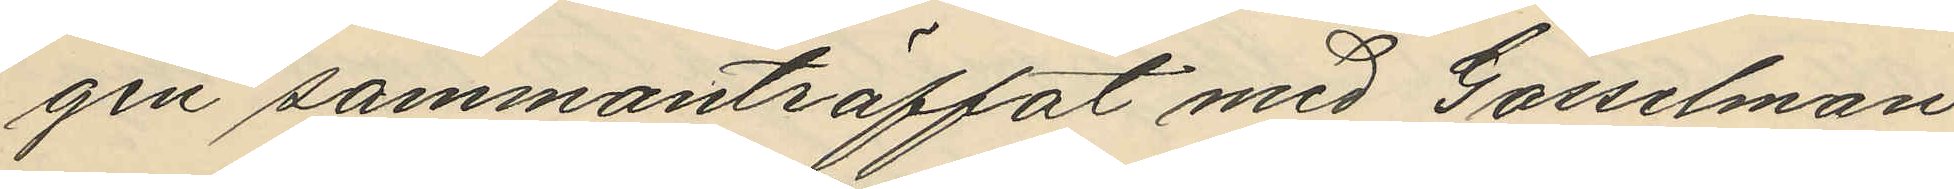gen sammanträffat med Gosselman
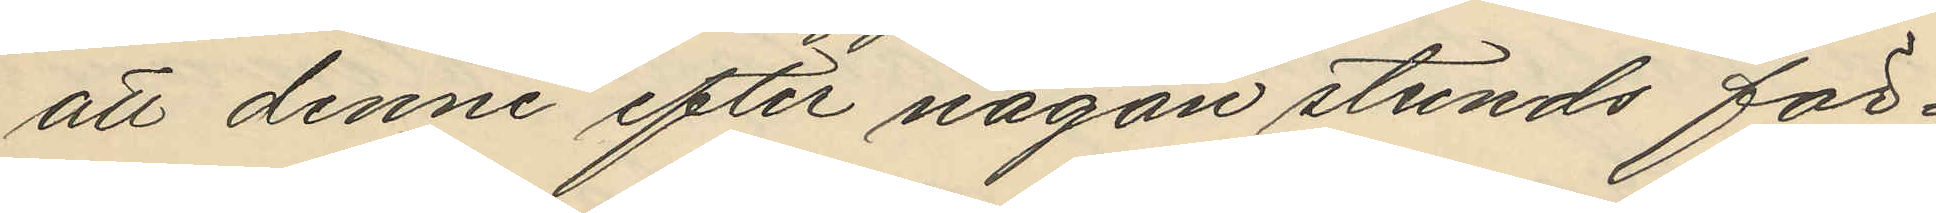att denne efter någon stunds för¬
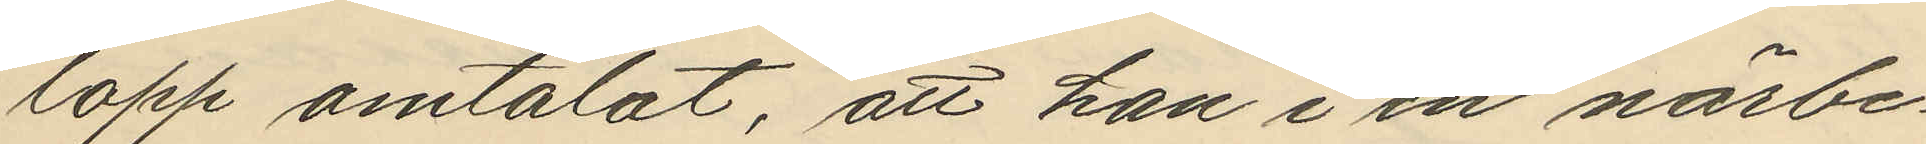lopp omtalat, att han i en närbe¬
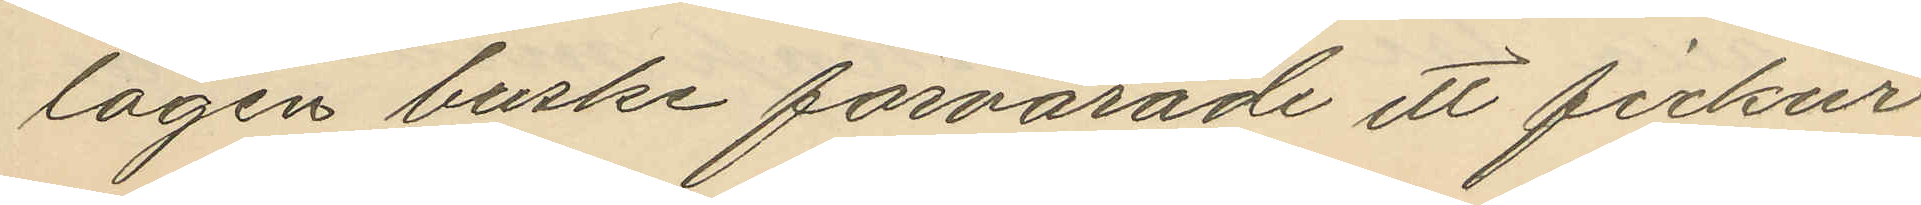lägen buske förvarade ett fickur
